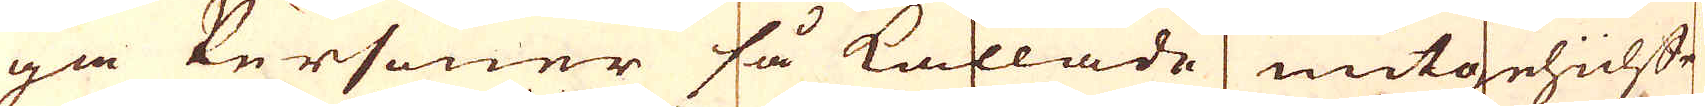ga Personer så kallade mutgehülffe
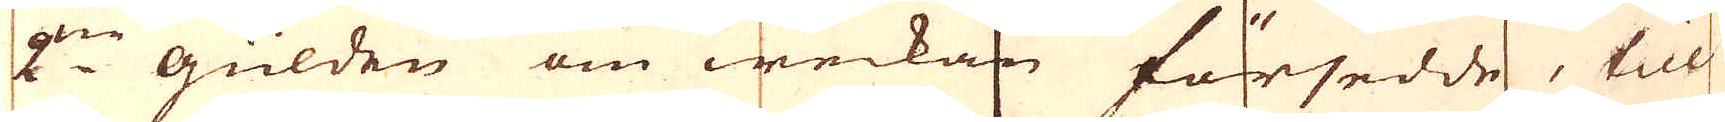2:ne gulden om weckan försedde, till
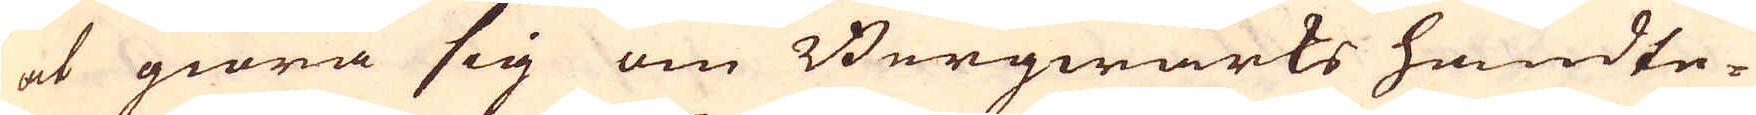at giöra sig om Bergwärks handte-
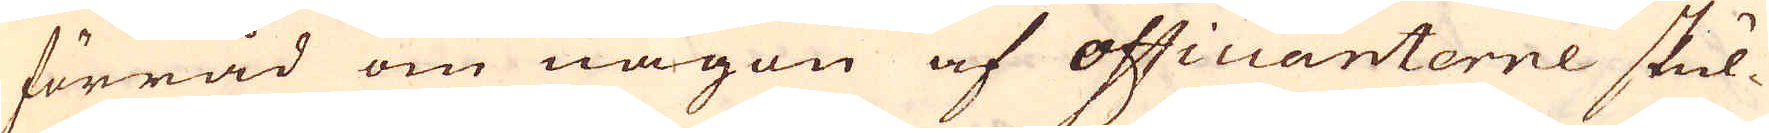förråd om någon af officianterne skul-
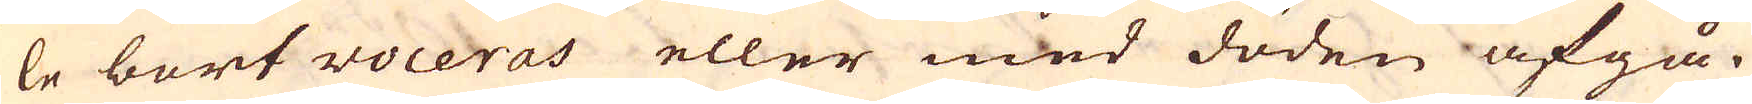le bort voceras eller med döden afgå.
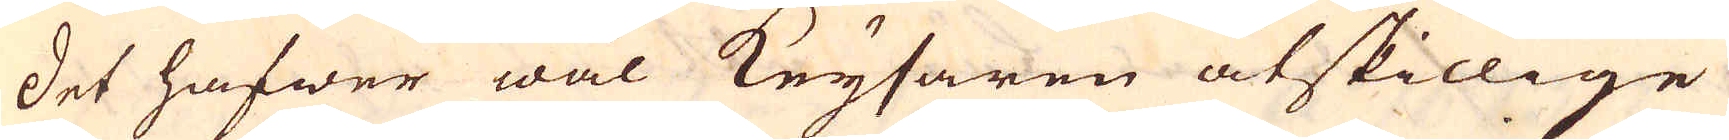Det hafwer wäl Keysaren åtskillige
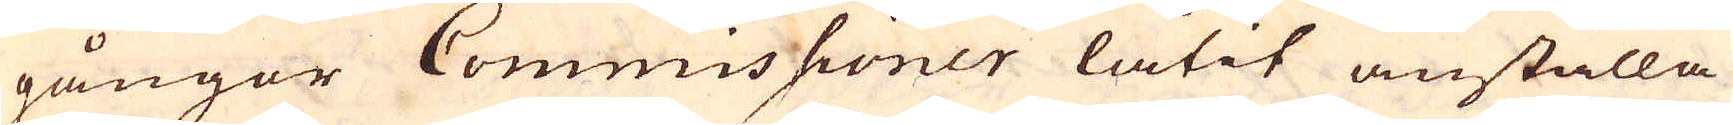gångor Commissioner låtit anställa
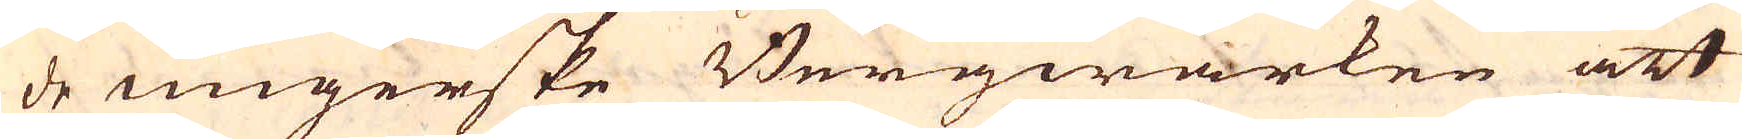de ungerske Bergwärken att
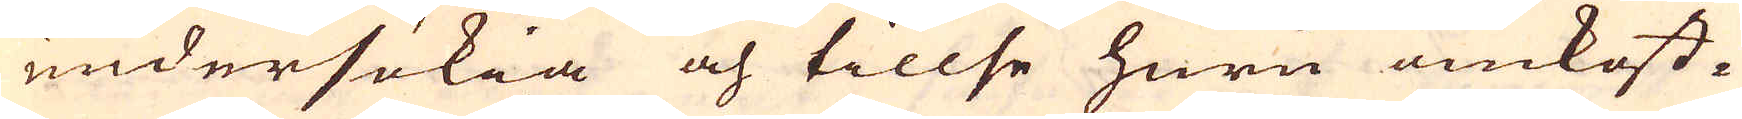undersökia och tillse huru omkost-
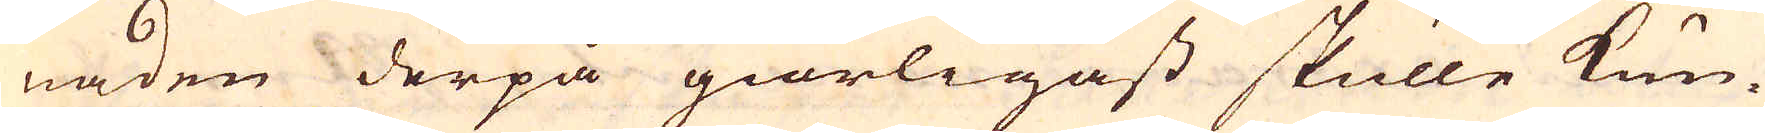naden derpå giörligast skulle kun-
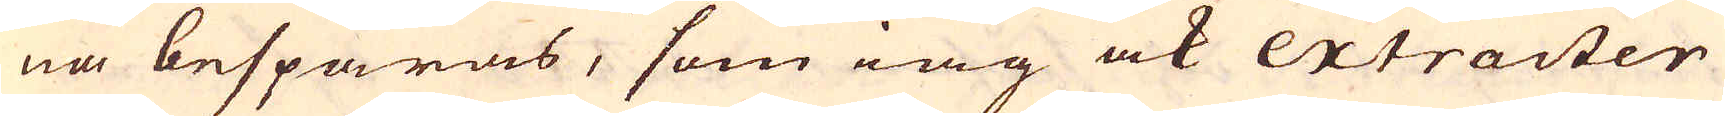na besparas, som iag ock extracter
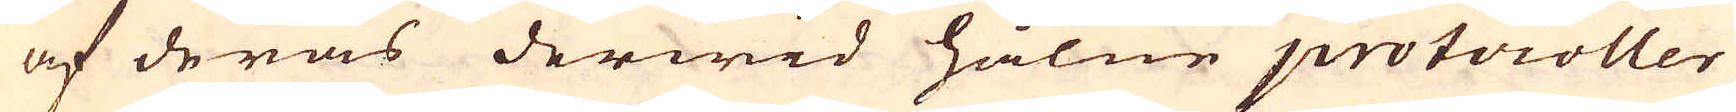af deras derwid hålne protocoller
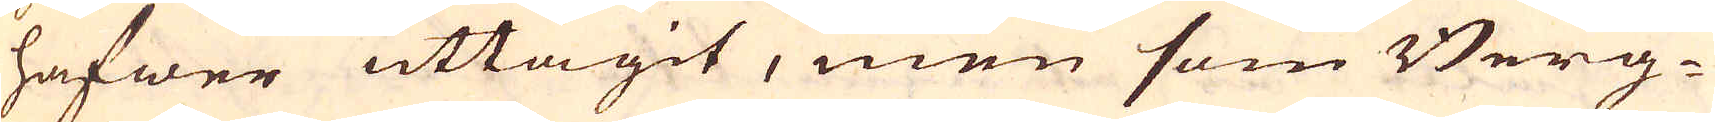hafwer uttagit, men som Berg-
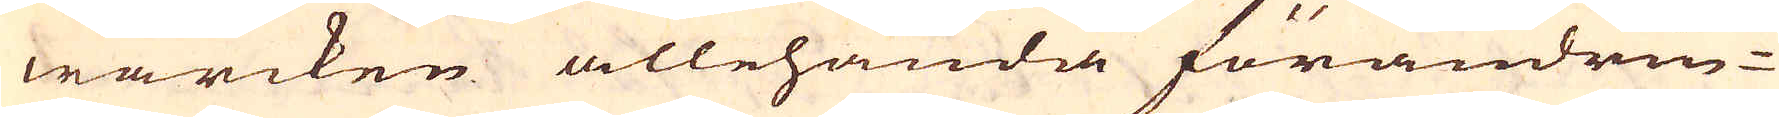wärcken allehanda förändrin-
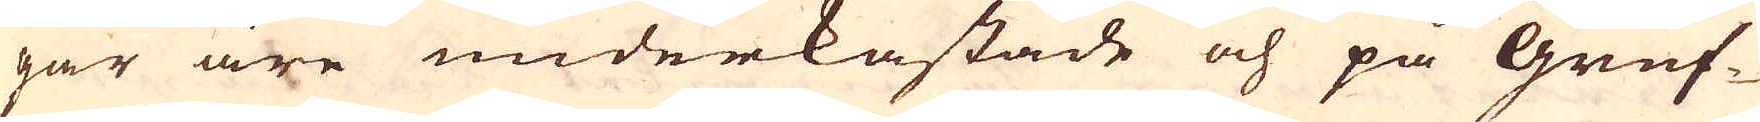gar äre underkastade och på gruf-
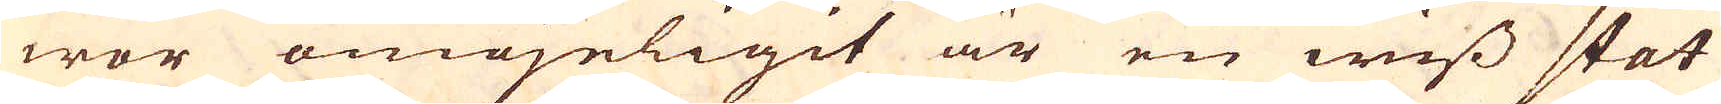wor omögeligit är en wiss stat
